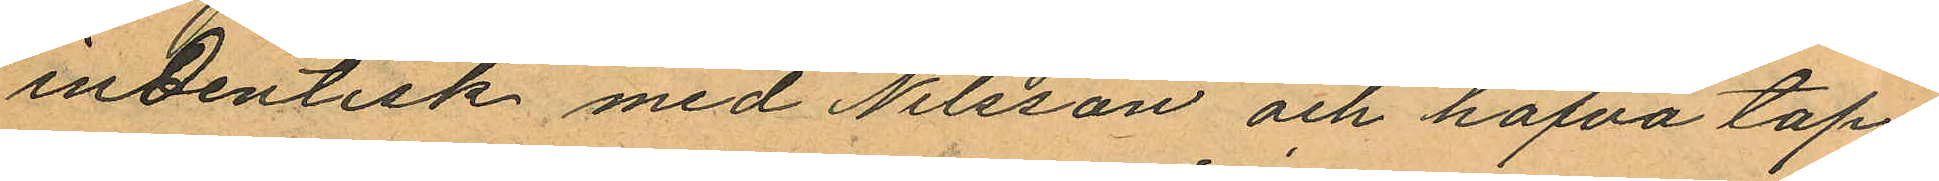indentisk med Nilsson och hafva tap¬
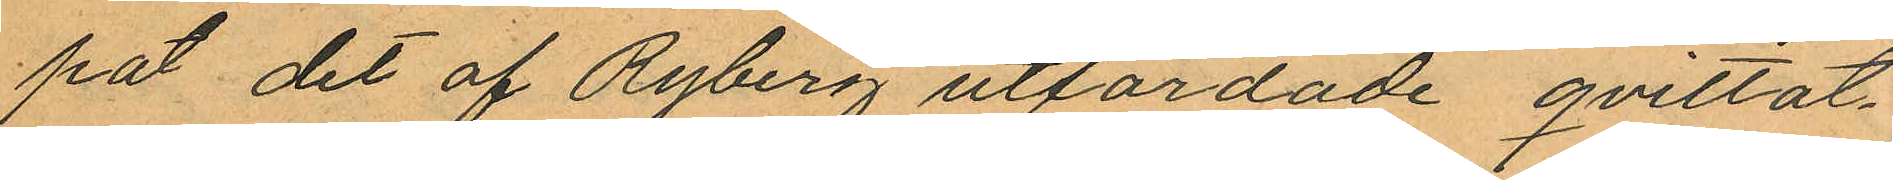pat det af Ryberg utfärdade qvittot,
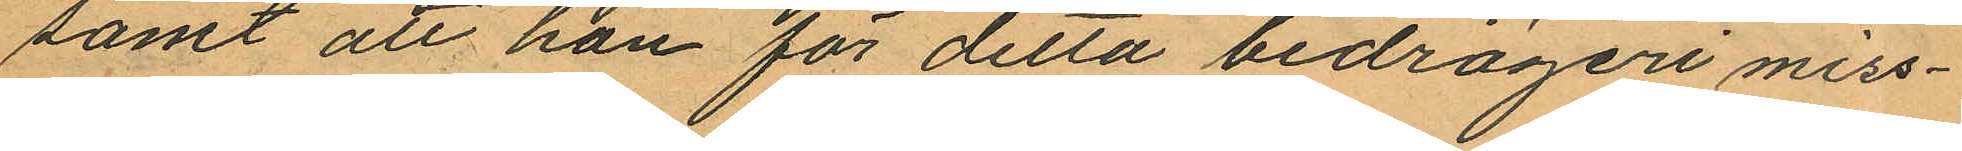samt att han för detta bedrägeri miss¬
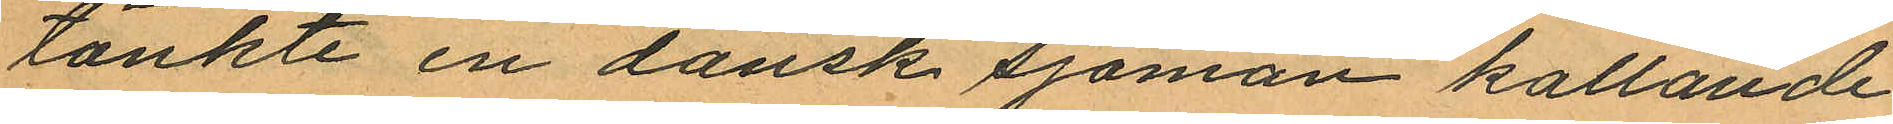tänkte en dansk sjöman kallande
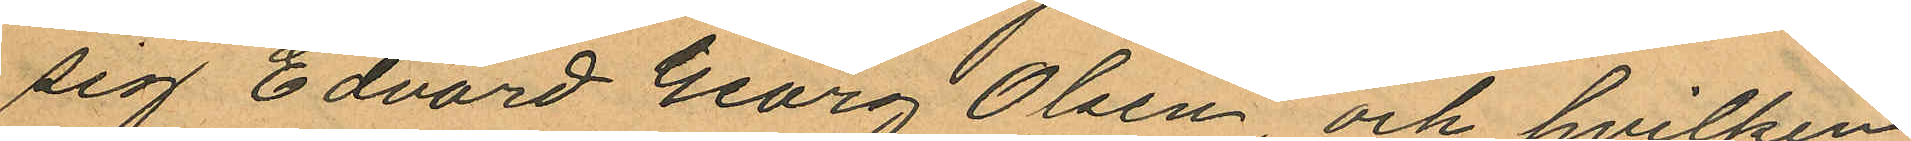sig Edvard Georg Olsen och hvilken
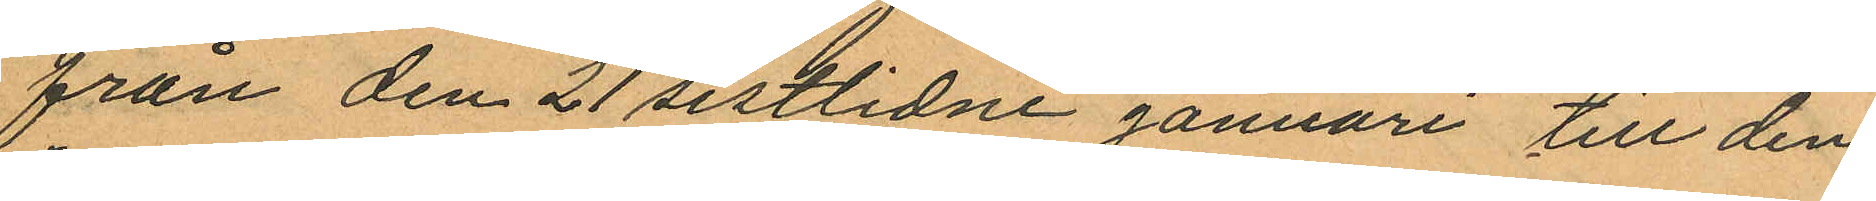från den 21 sistlidne januari till den
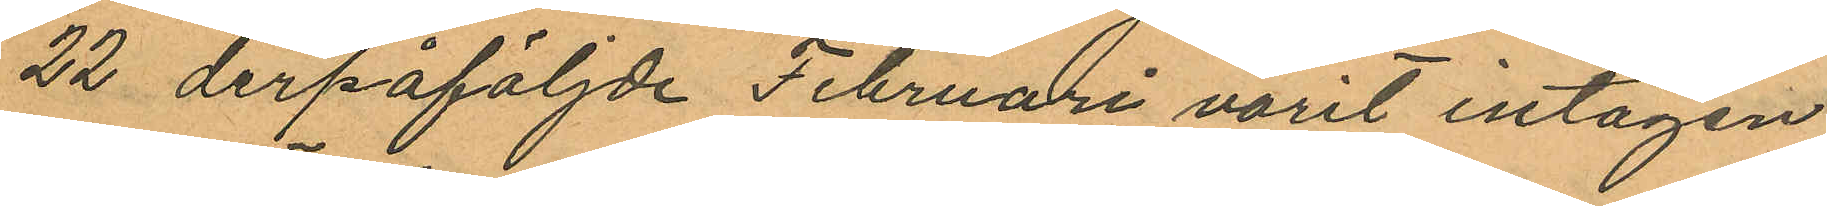22 derpåföljde Februari varit intagen
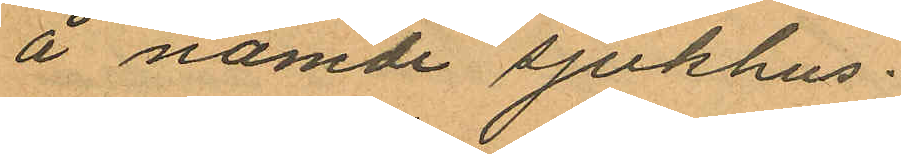å nämde sjukhus.
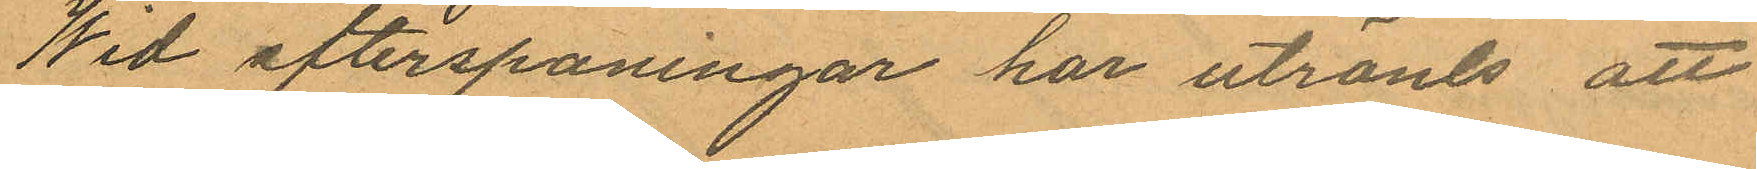Wid efterspaningar har utrönts att
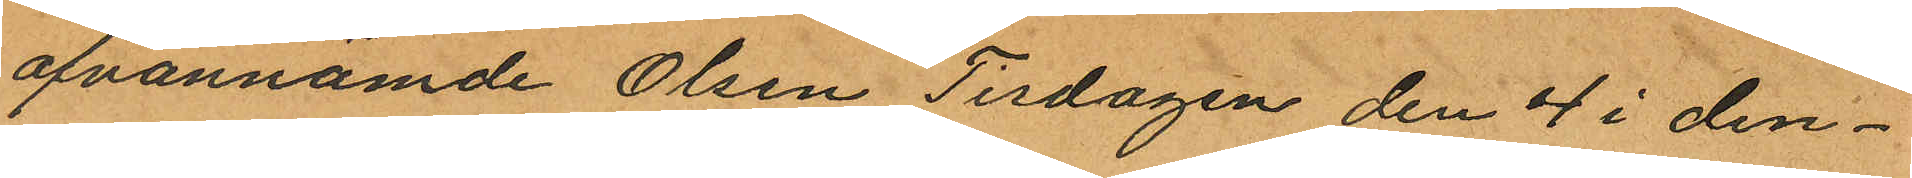ofvannämde Olsen Tisdagen den 4 i den¬
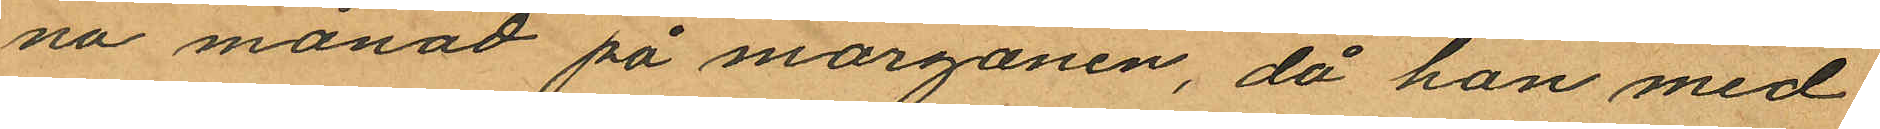na månad på morgonen, då han med
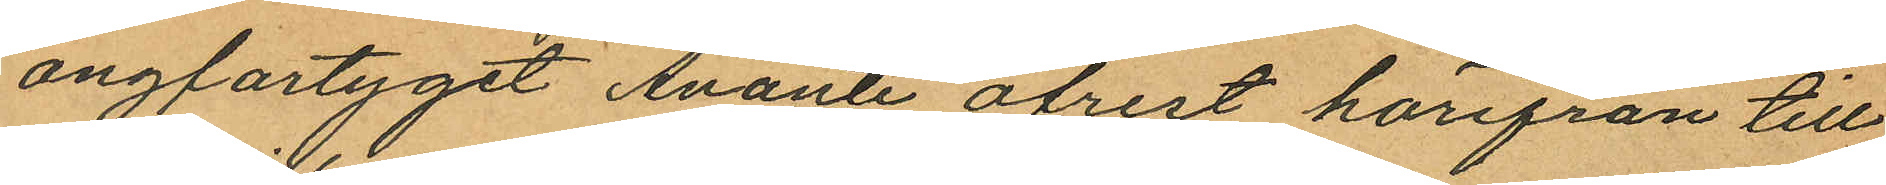ångfartyget Avanti afrest härifrån till
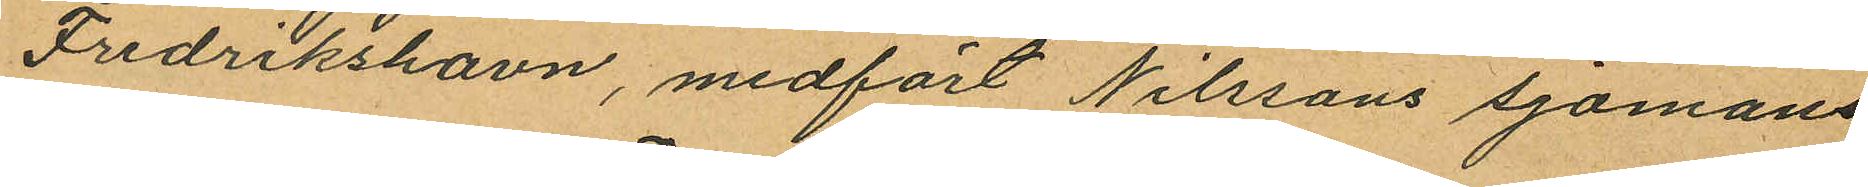Fredrikshavn, medfört Nilssons sjömans
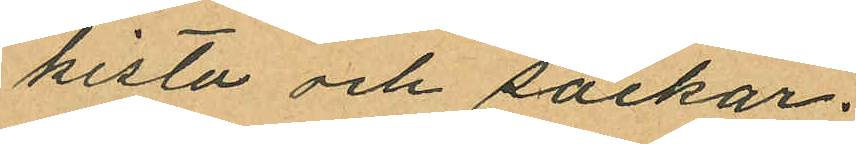kista och säckar;
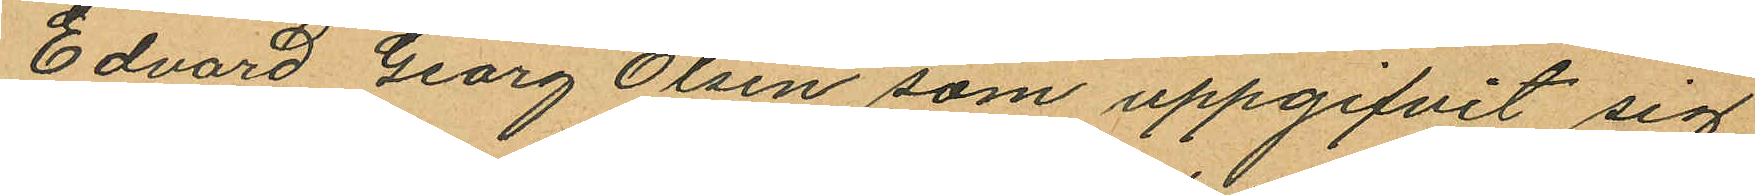Edvard Georg Olsen som uppgifvit sig
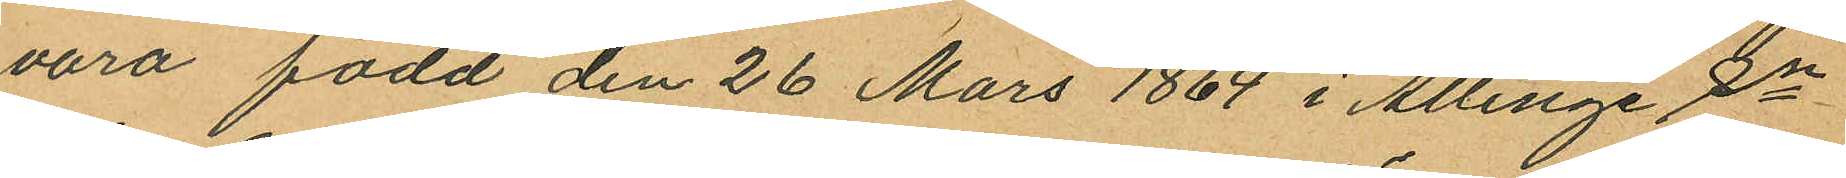vara född den 26 Mars 1864 i Allinge Sn
